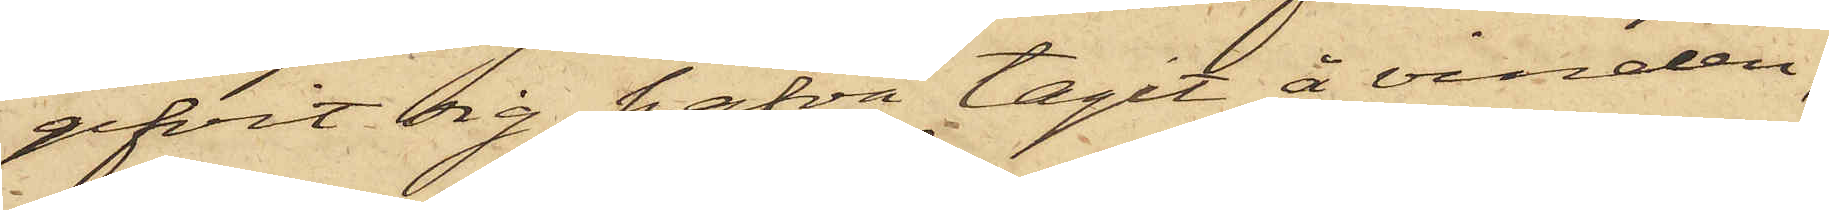gifvit sig hafva tagit å vinden;
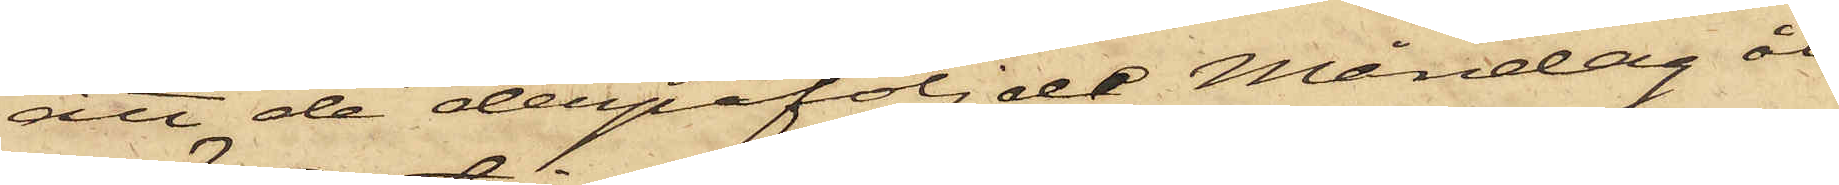att de derpåföljde Måndag åt¬
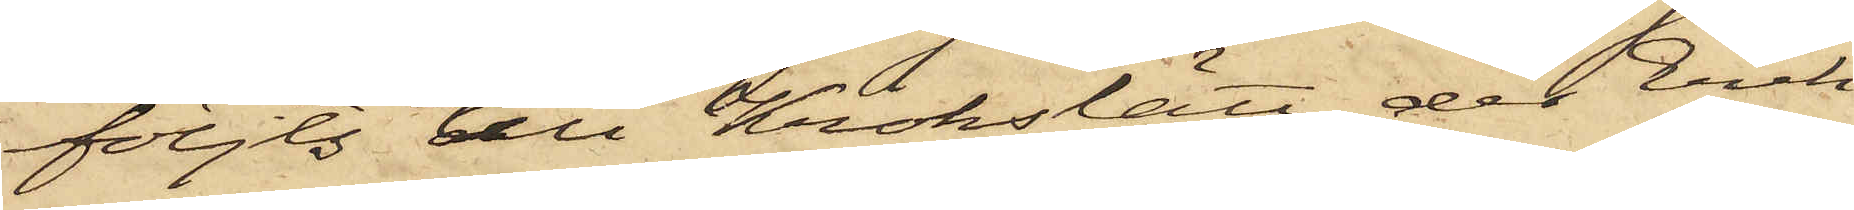följts till Krokslätt, der Erik
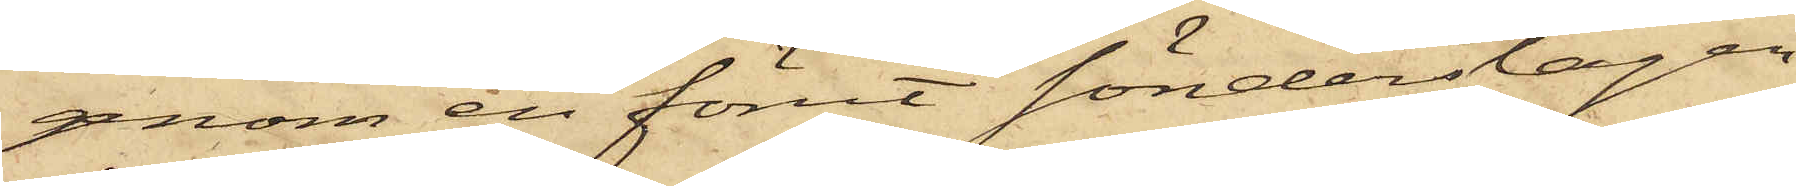genom en förut sönderslagen
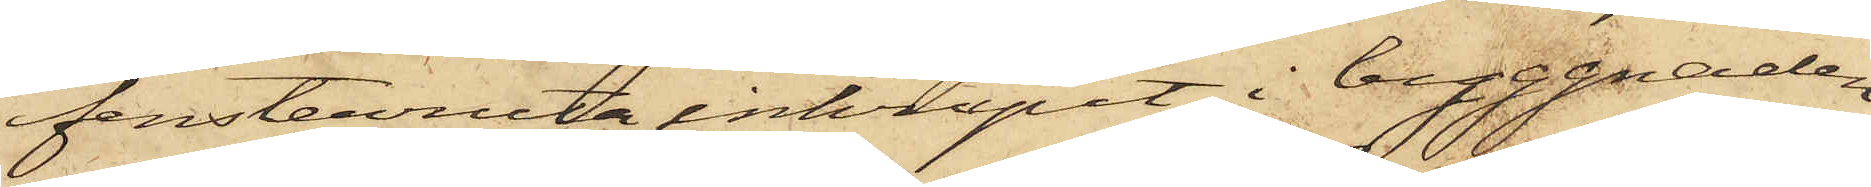fensterruta inkrupit i byggnaden
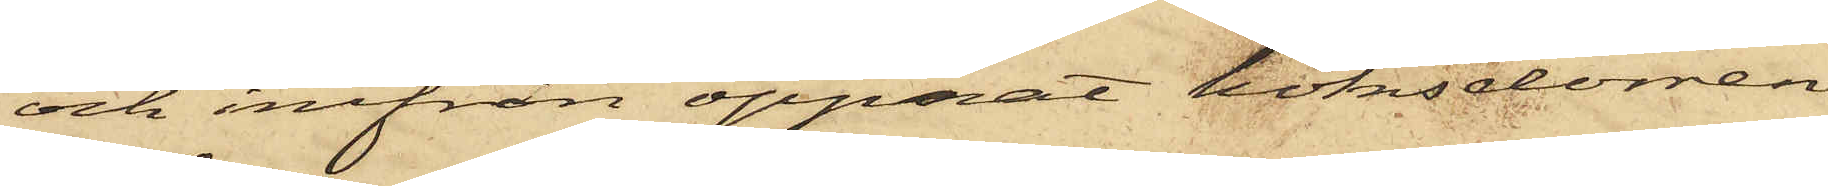och inifrån öppnat köksdörren
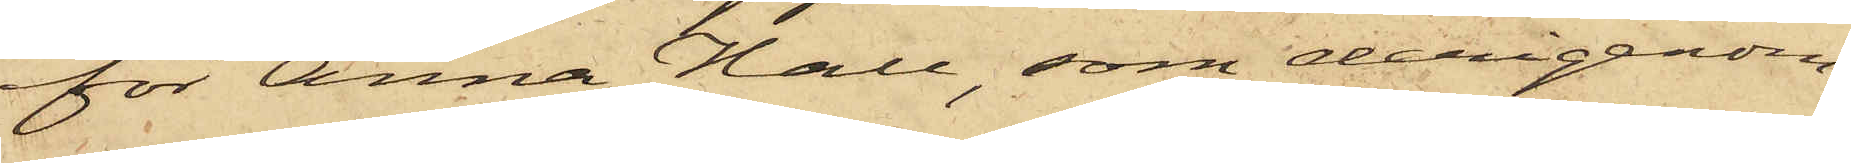för Anna Hall, som derigenom
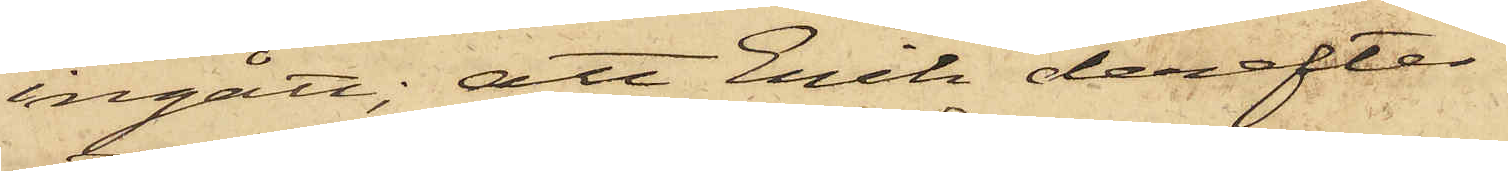ingått; att Erik derefter
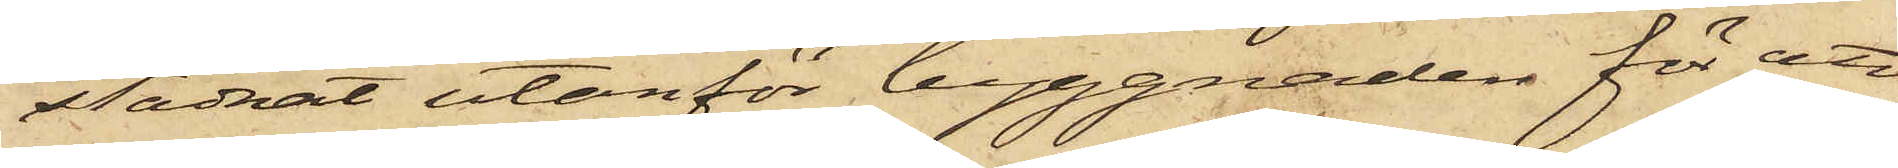stadnat utanför byggnaden för att
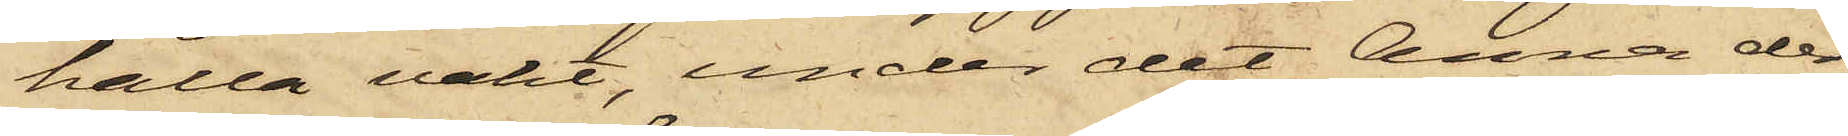hålla vakt, under det Anna der¬
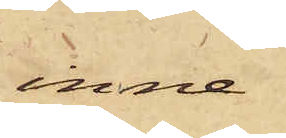inne
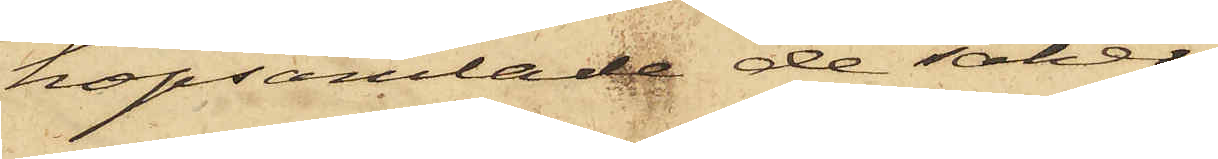hopsamlade de saker,
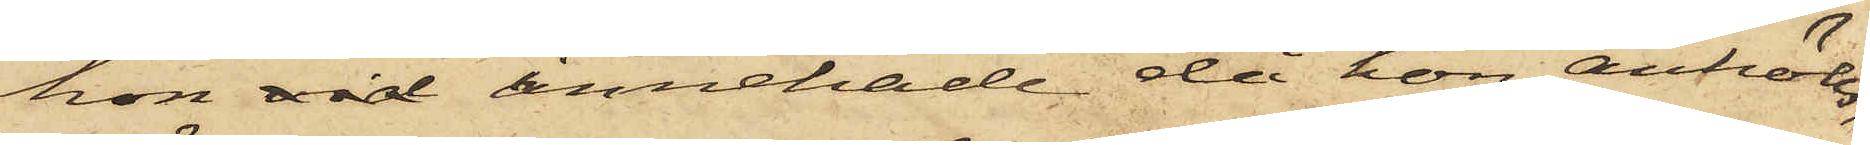hon vid innehade då hon anhölls,
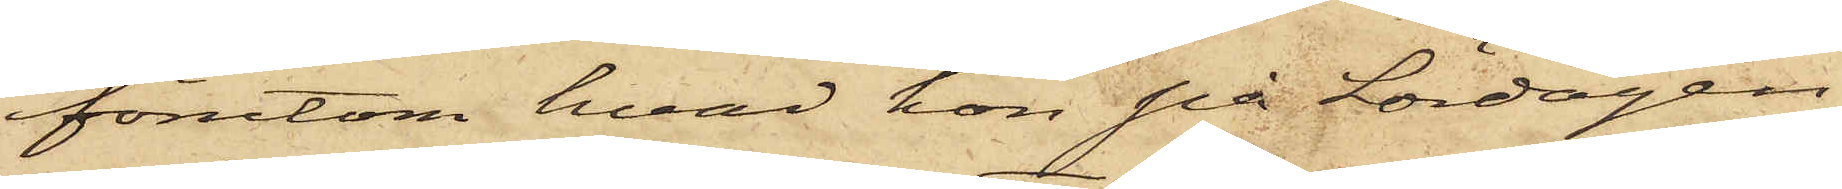förutom hvad hon på Lördagen
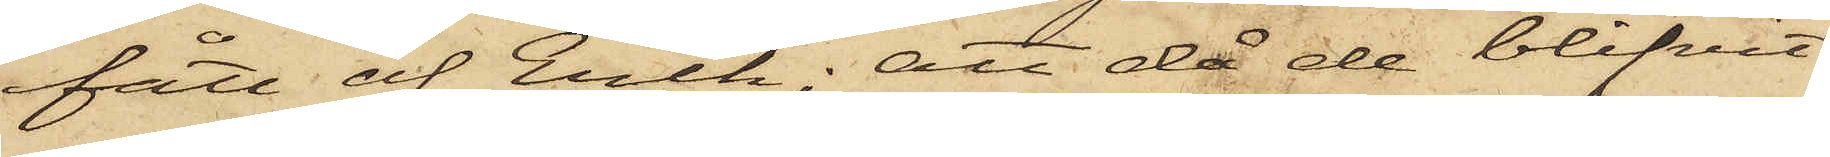fått af Erik; att då de blifvit
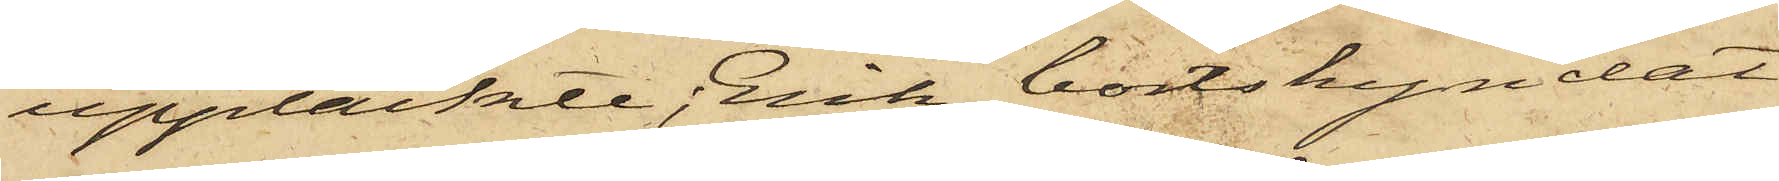upptäckte;  Erik bortskyndat
